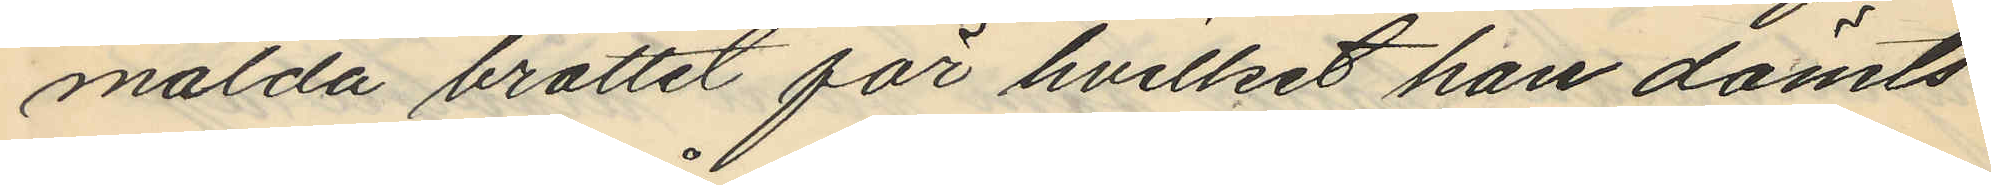mälda brottet för hvilket han dömts
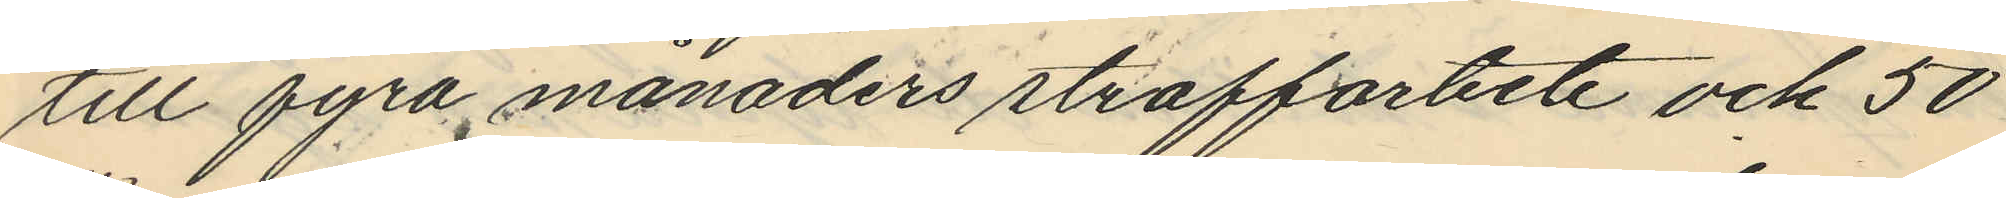till fyra månaders straffarbete och 50
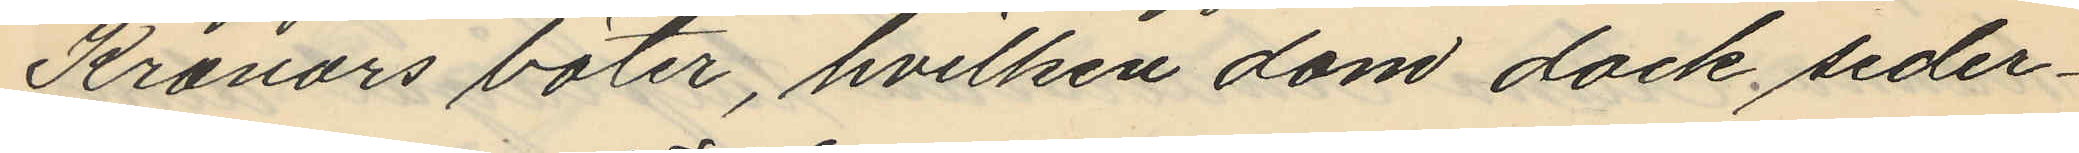Kronors böter, hvilken dom dock seder¬
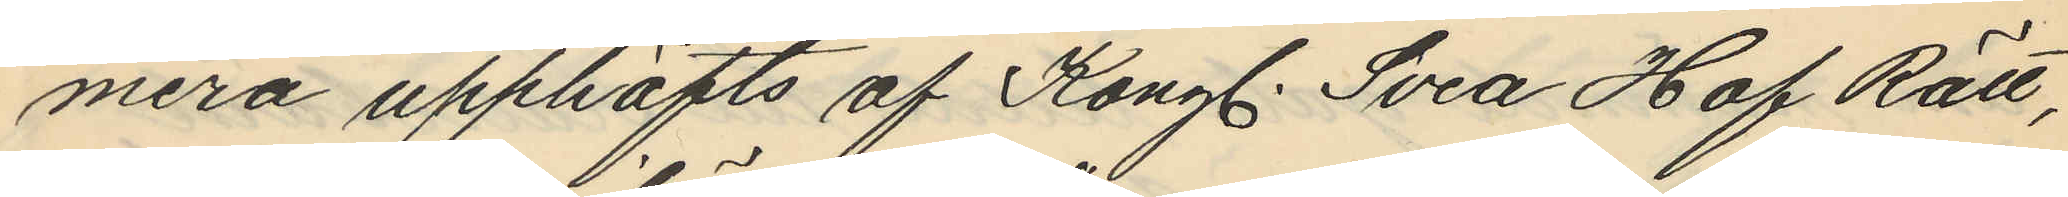mera upphäfts af Kongl. Svea Hof Rätt,
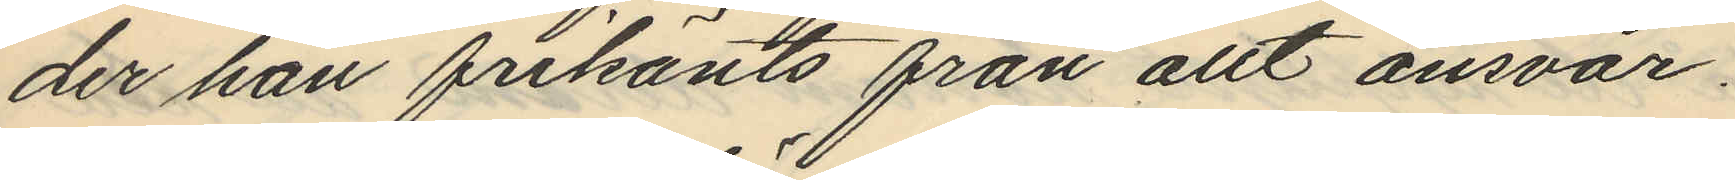der han frikänts från allt ansvar.
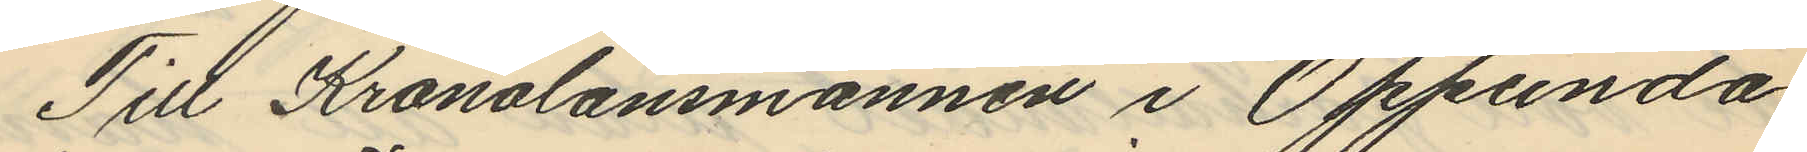Till Kronolänsmannen i Oppunda
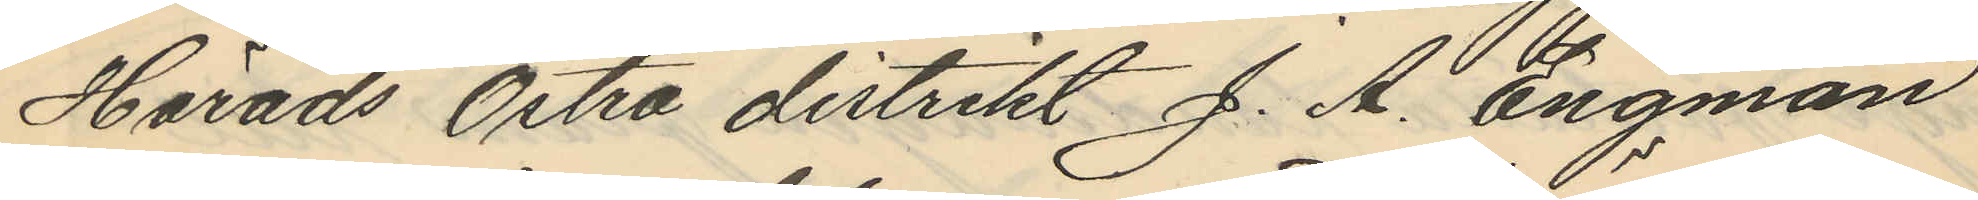Härads Östra distrikt J. A. Engman
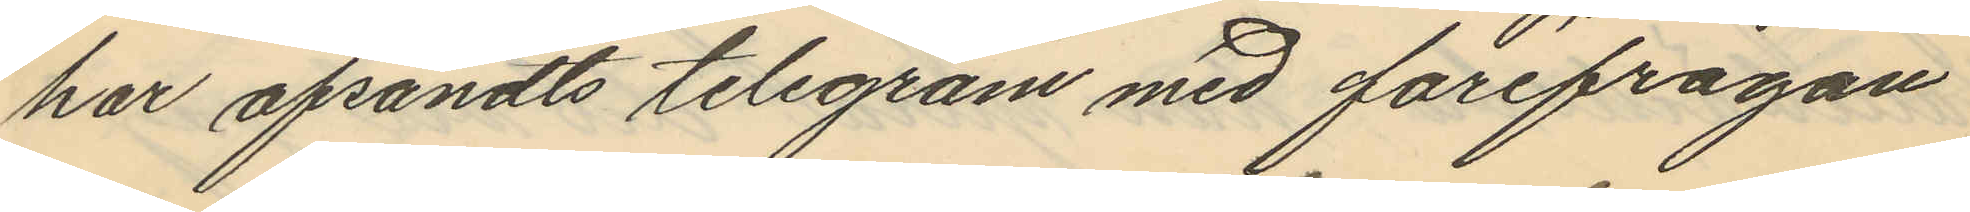har afsändts telegram med förifrågan
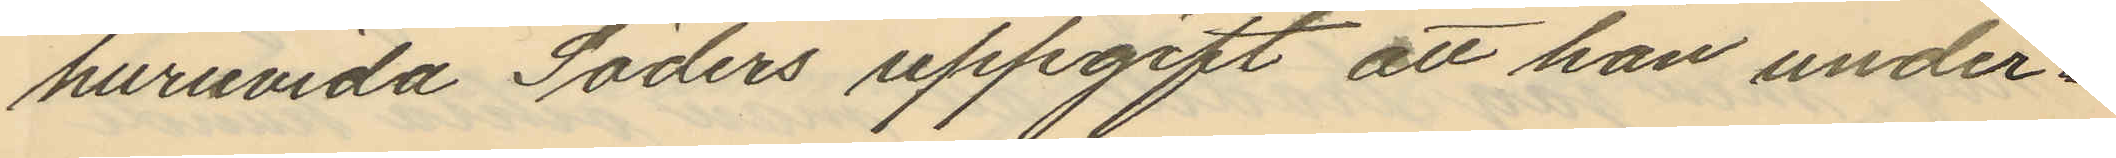huruvida Söders uppgift att han under¬
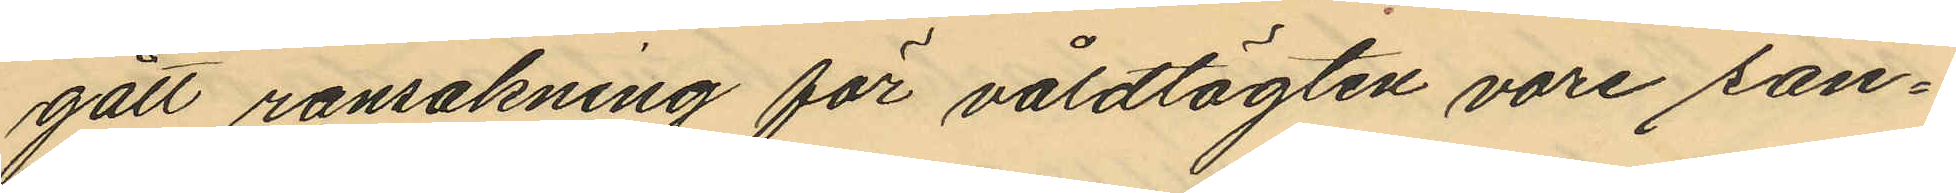gått rannsakning för våldtägten vore san¬
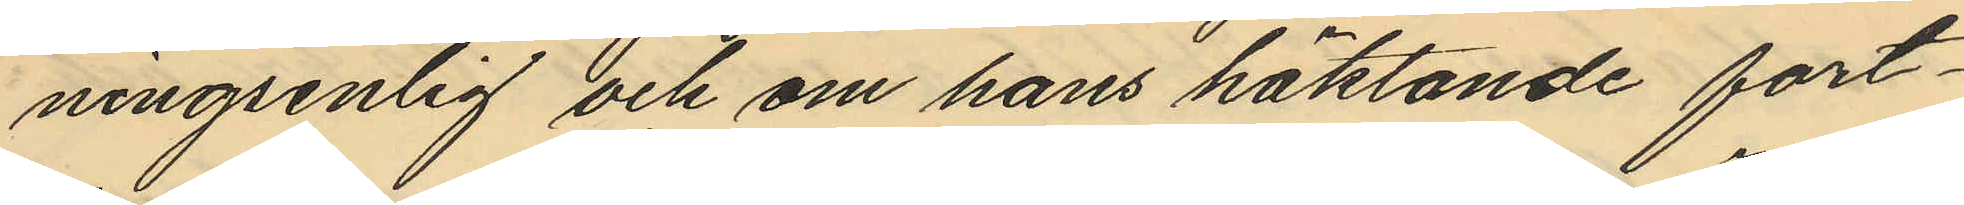ningsenlig och om hans häktande fort¬
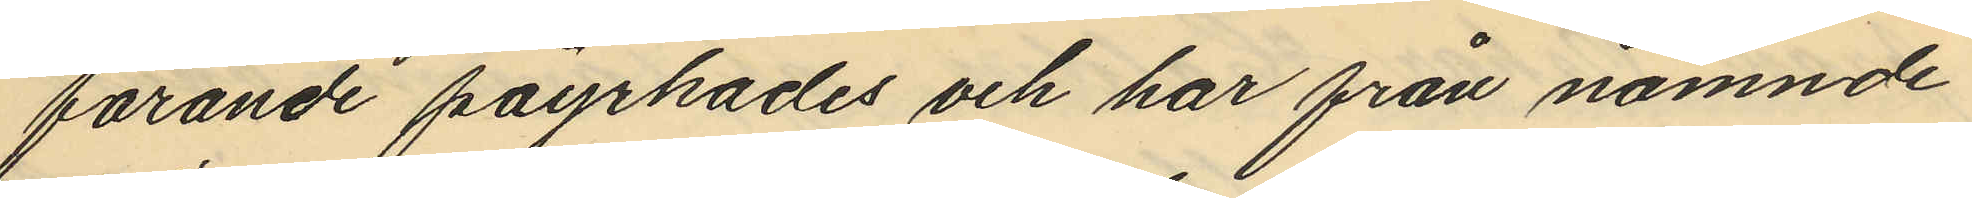farande påyrkades och har från nämnde
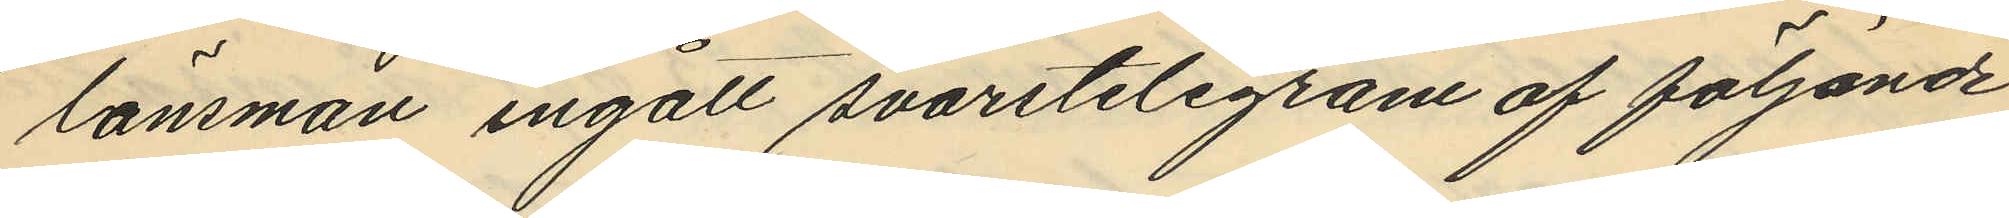länsman ingått svarstelegram af följande
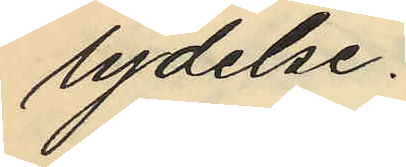lydelse.
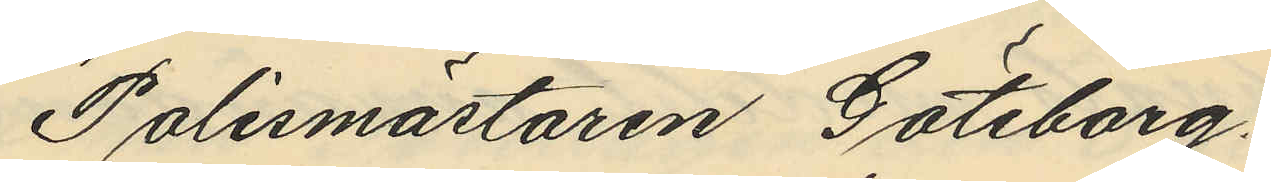"Polismästaren Göteborg.
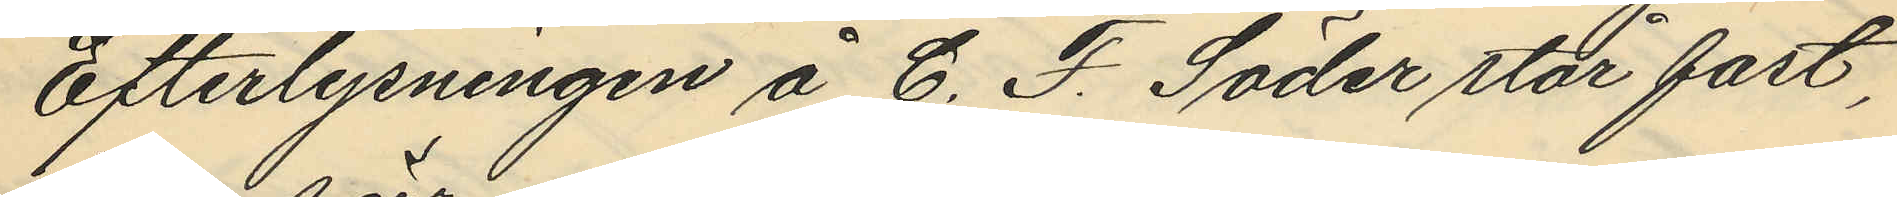Efterlysningen å C. F. Söder står fast,
